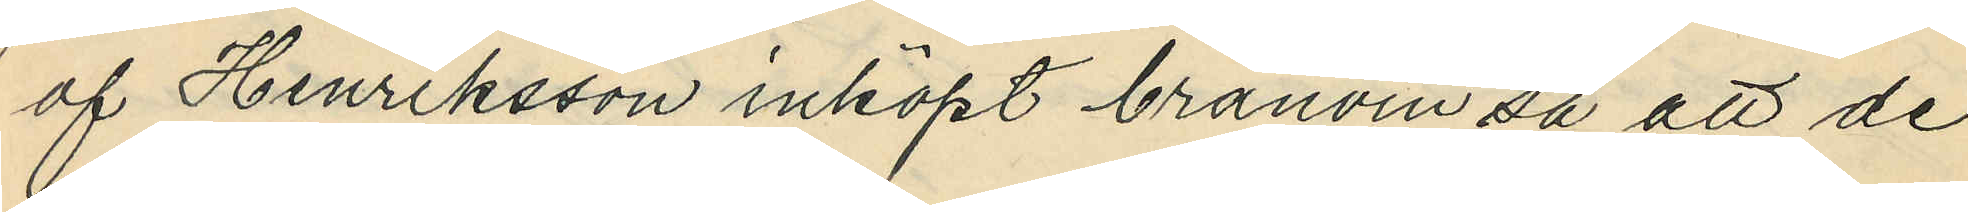af Henriksson inköpt bränvin så att de
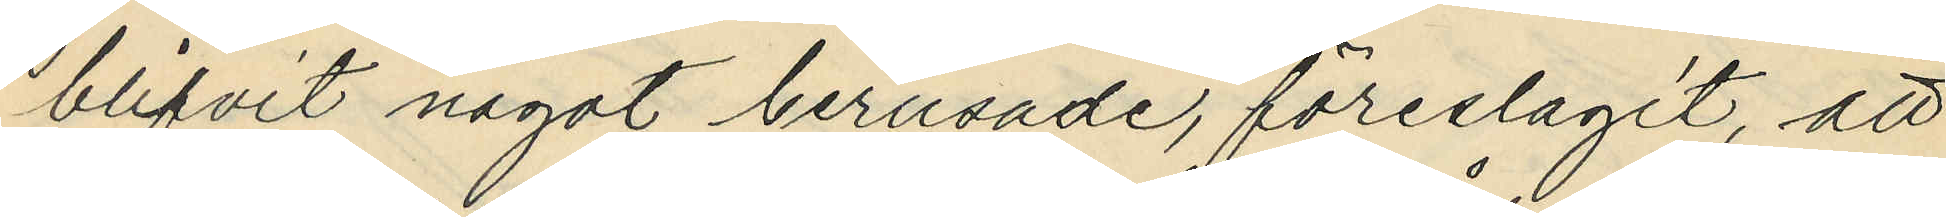blifvit något berusade, föreslagit, att
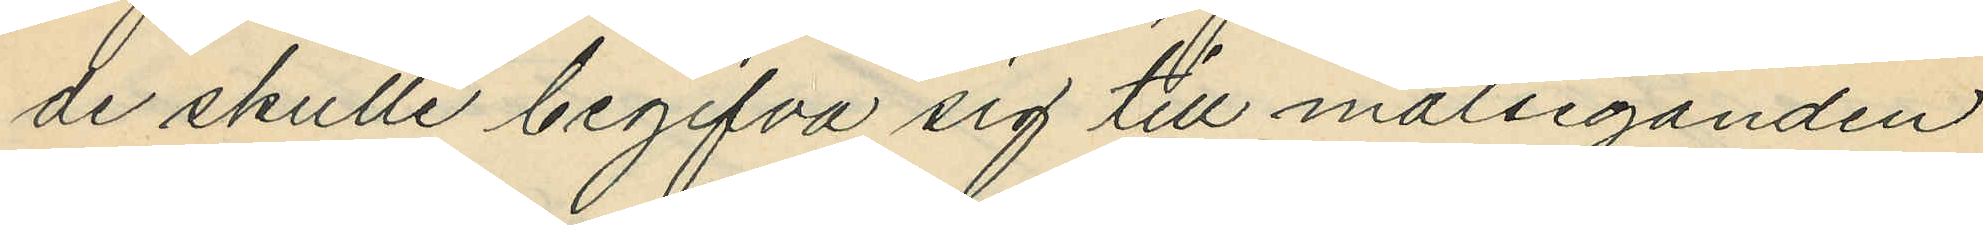de skulle begifva sig till målseganden
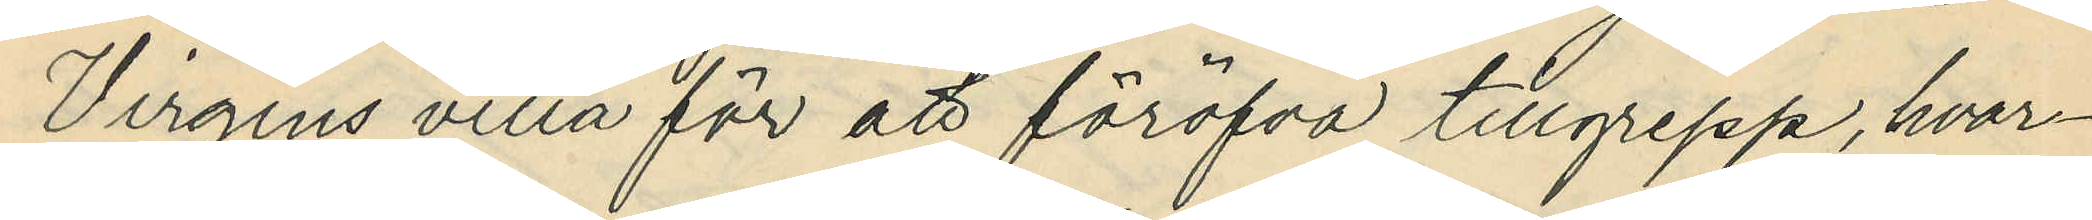Virgins villa för att föröfva tillgrepp, hvar¬
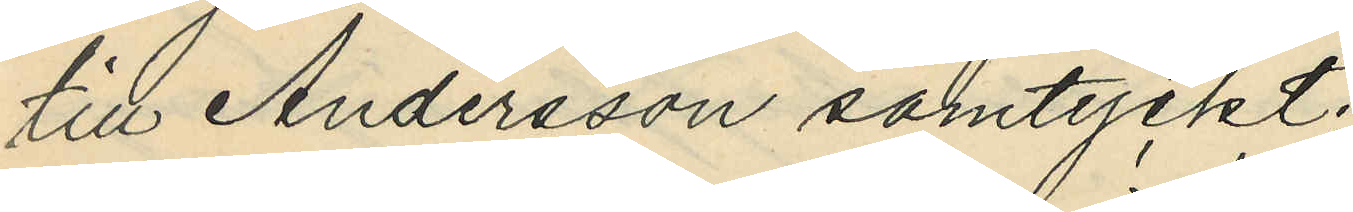till Andersson samtyckt;
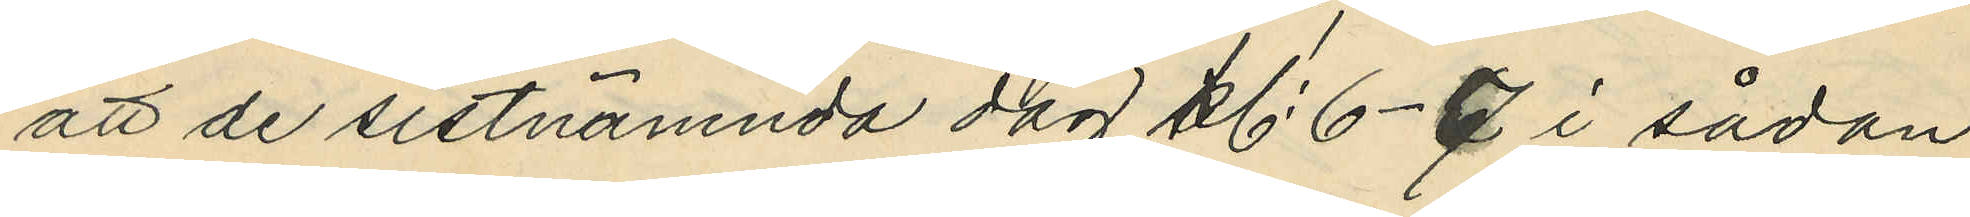att de sistnämnda dag kl. 6-7 i sådan
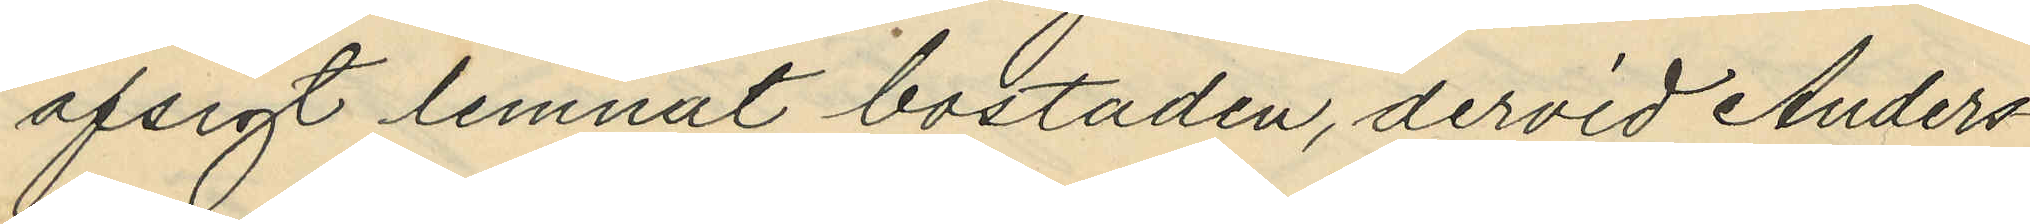afsigt lemnat bostaden, dervid Anders¬
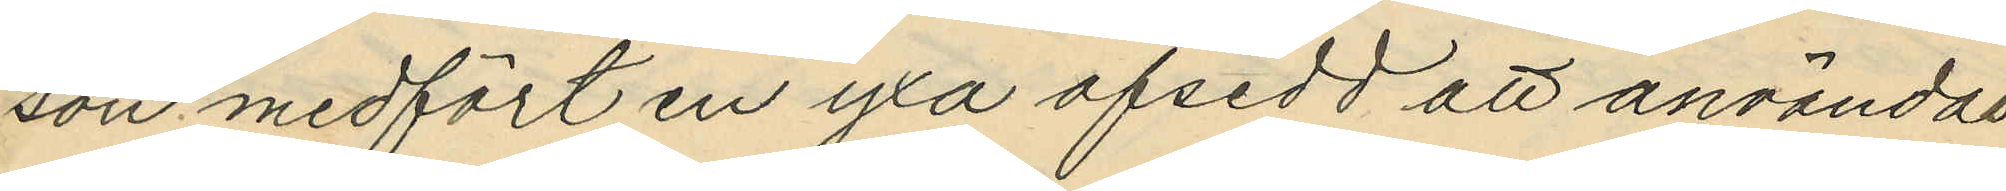son medfört en yxa afsedd att användat
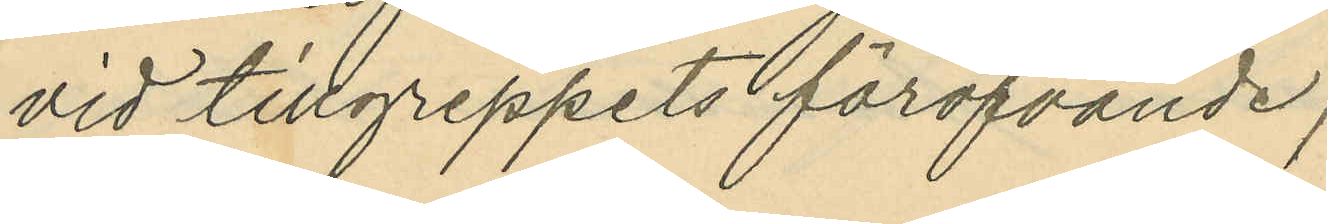vid tillgreppets föröfvande;
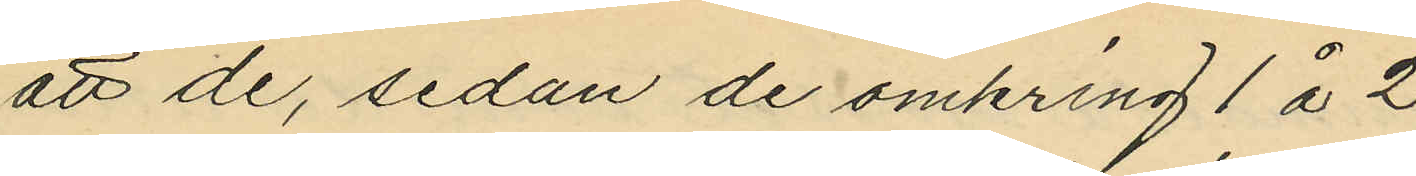att de, sedan de omkring 1 á 2
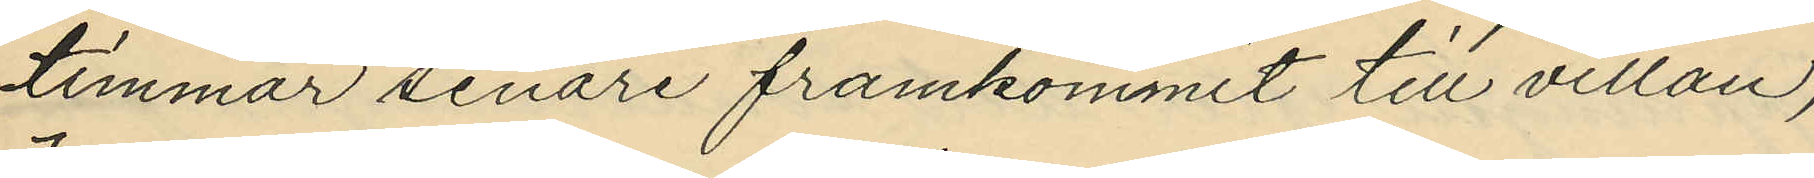timmar senare framkommit till villan,
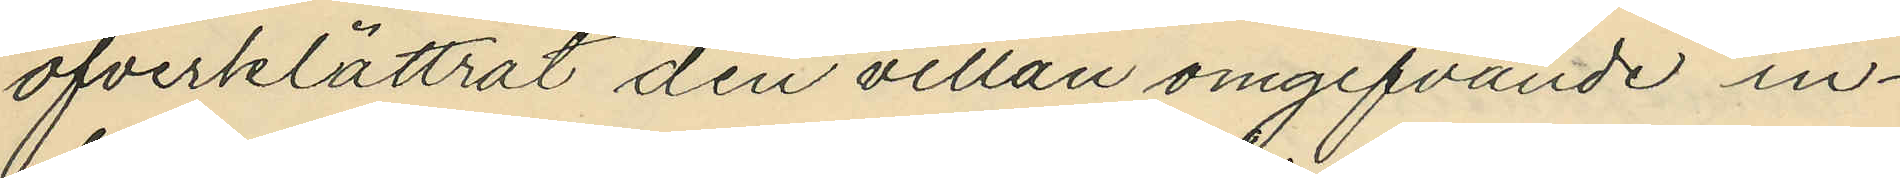öfverklättrat den villan omgifvande in¬
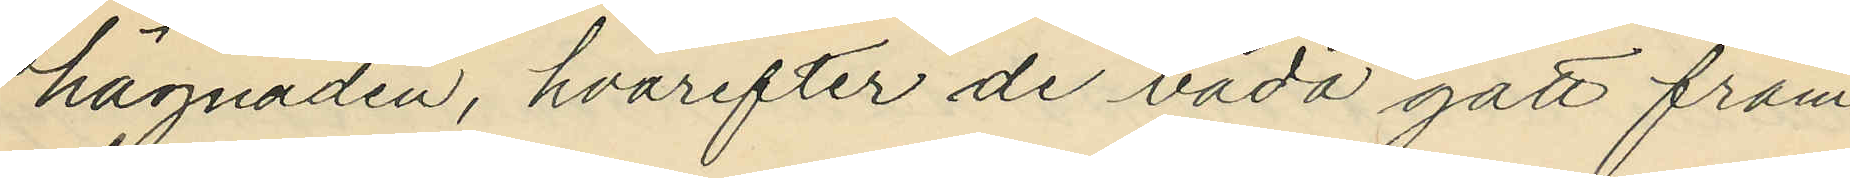hägnaden, hvarefter de båda gått fram
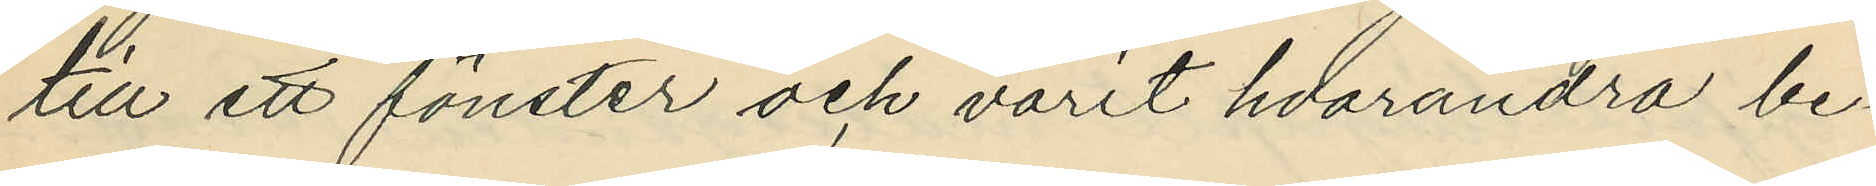till ett fönster och varit hvarandra be¬
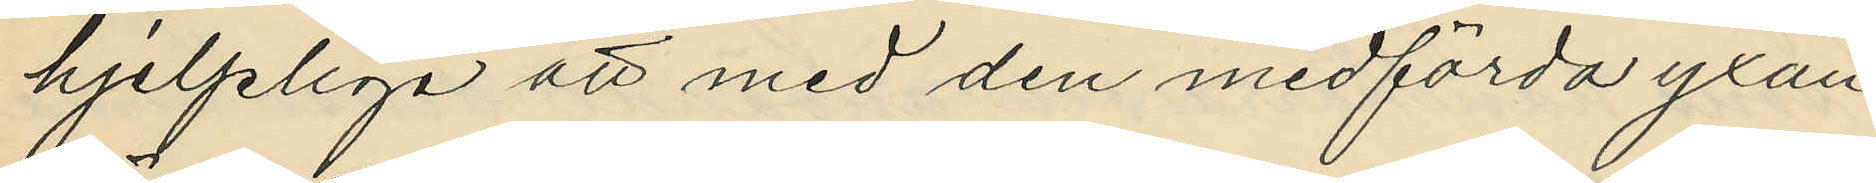hjelpliga att med den medförda yxan
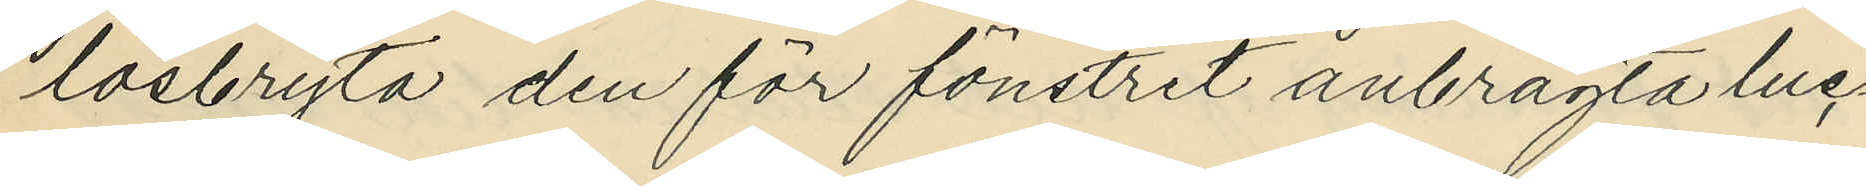lösbryta den för fönstret anbragta luc¬
